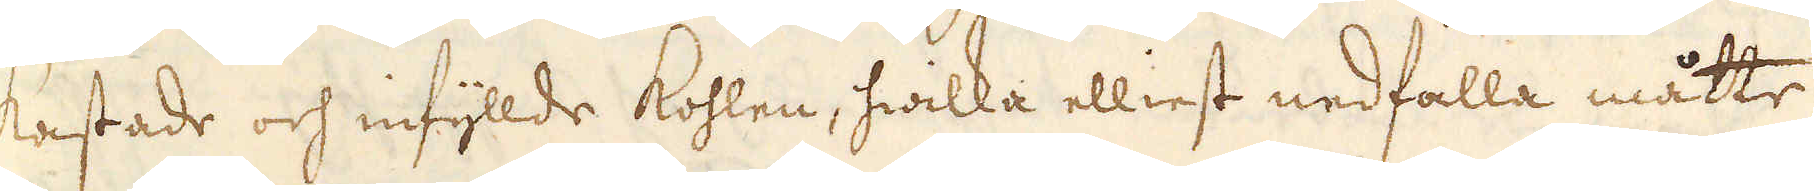kastade och infyllde kohlen, hwilka elliest nedfalla måtte.
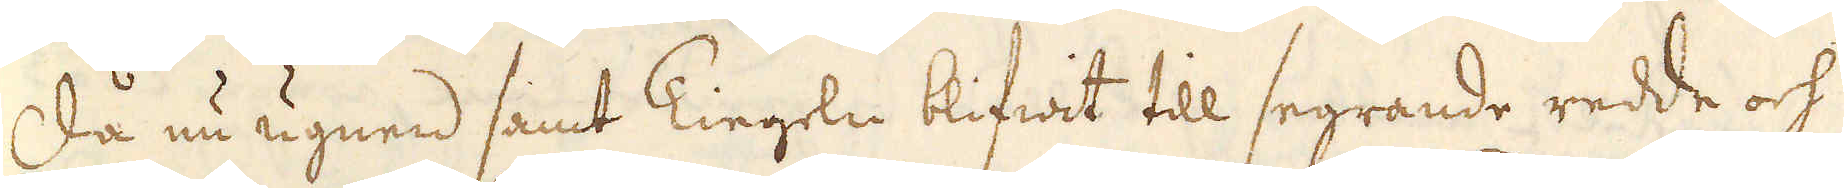Då nu ugnen samt Tiegeln blifwit till segrande redde och
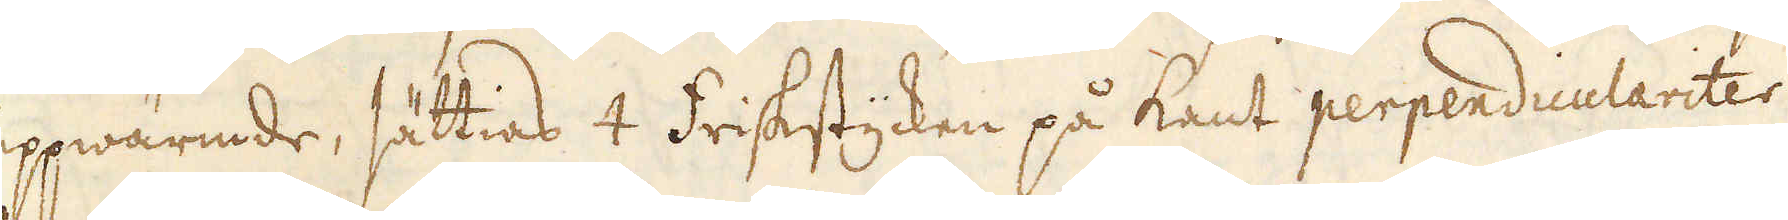uppwärmde, sättias 4 friskstycken på kant perpendiculariter
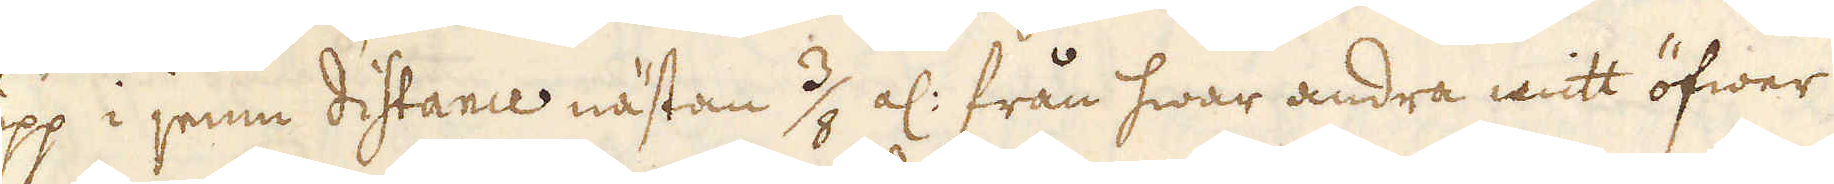upp i jemn distance nästan 3/8 al: från hwar andra mitt öfwer
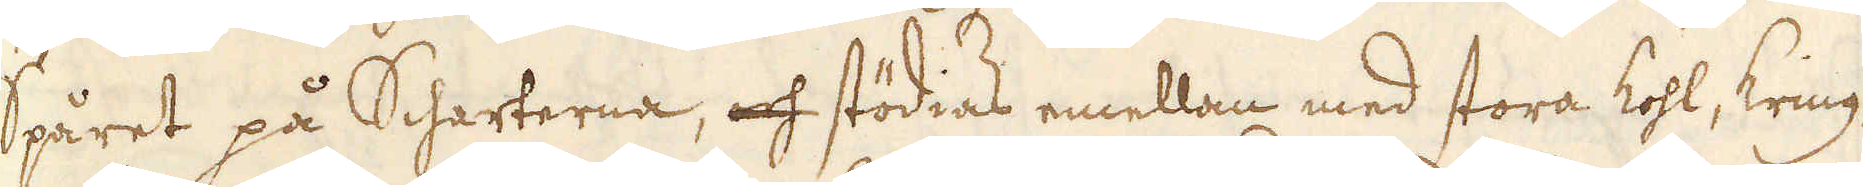Spåret på Scharterna, och stödias emellan med stora kohl, kring-
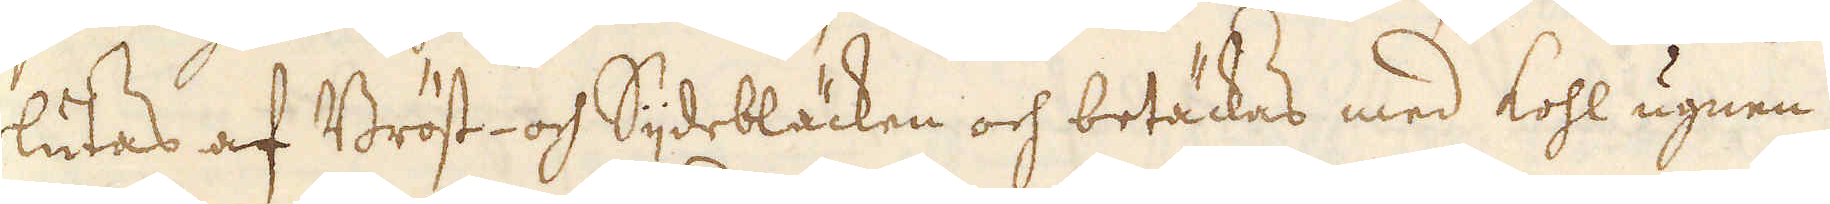slutas af Bröst- och Sidebläcken och betäckas med kohl ugnen
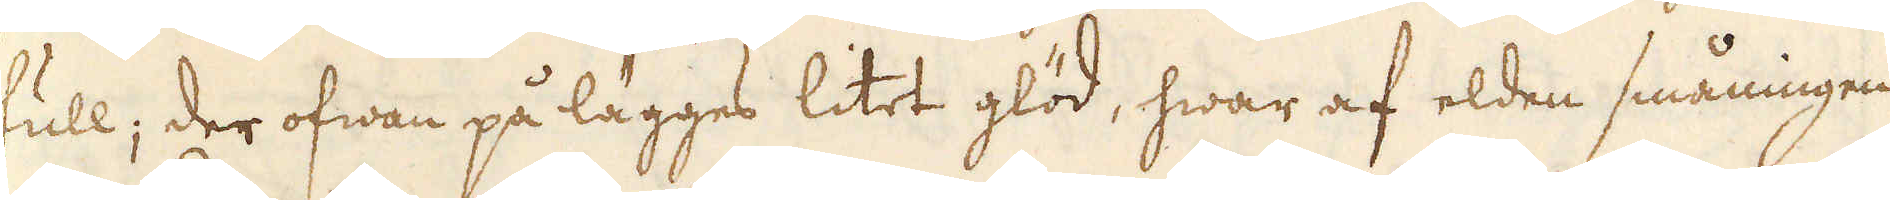full; der ofwan på lägges litet glöd, hwar af elden småningen
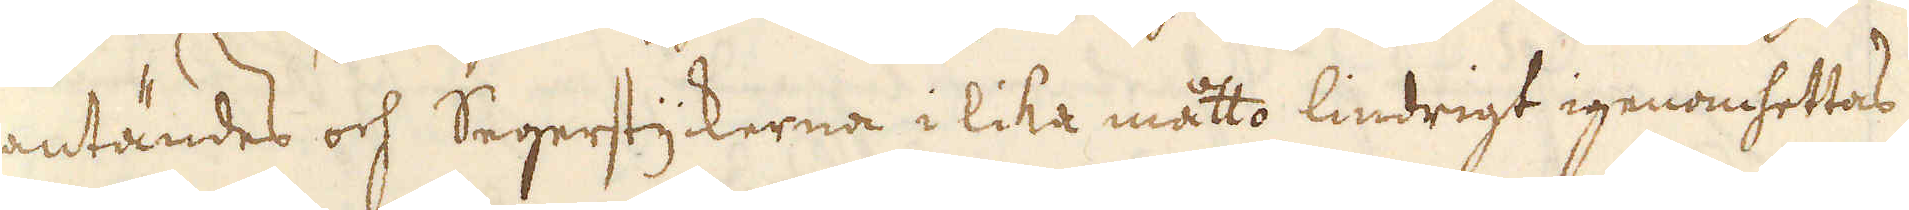antändes och Segerstyckerna i lika måtto lindrigt igenomhettas;
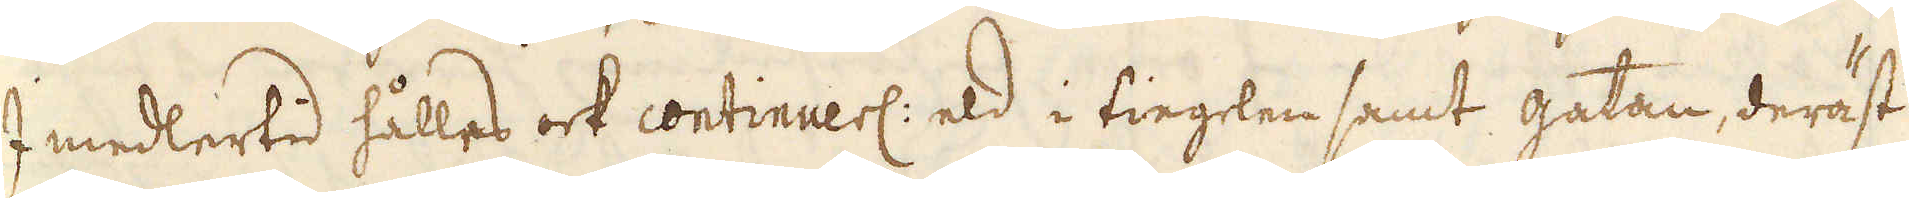I medlertid hålles ock continuerl: eld i tieglen samt gatan, deräst
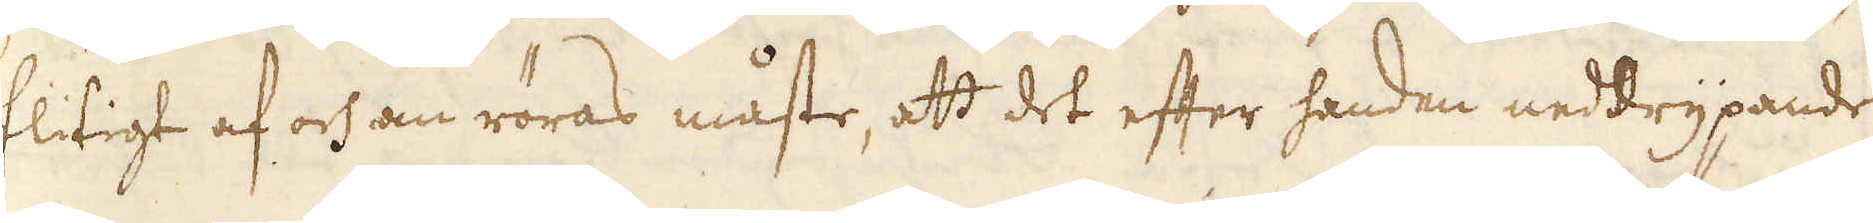flitigt af och om röras måste, att det efter handen neddrypande
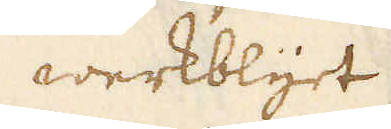werkblyet
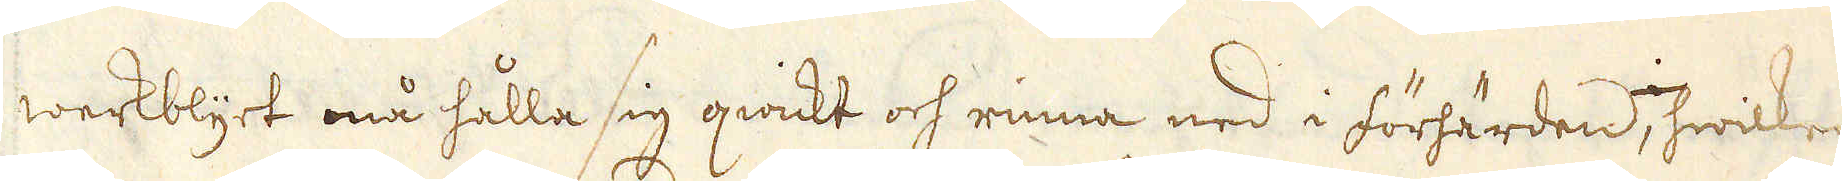werkblyet må hålla sig qwickt och rinna ned i förhärden, hwilken
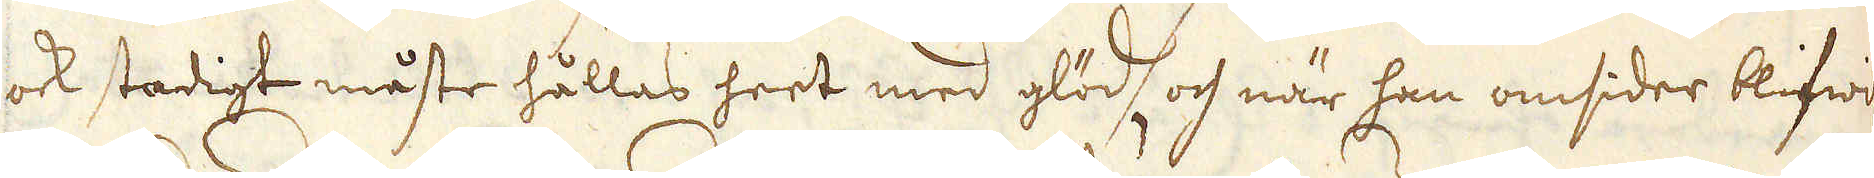ock stadigt måste hållas heet med glöd, och när han omsider blifwer
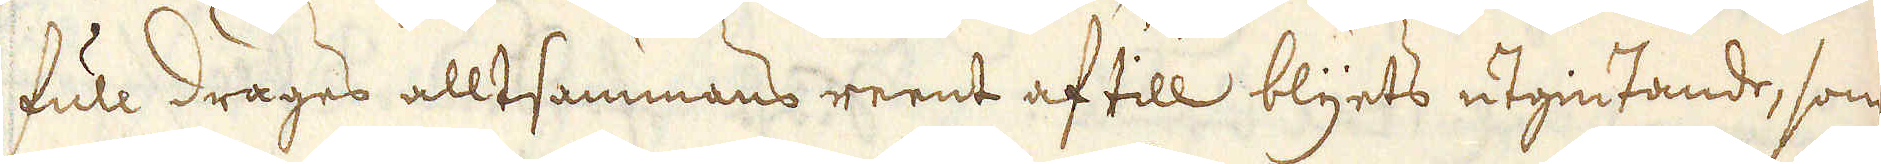full drages alltsammans reent af till blyets utgiutande, som
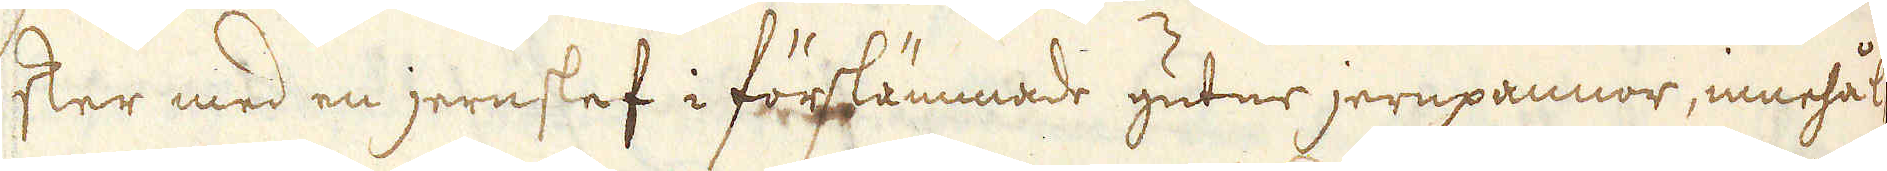sker med en jernslef i förslämmade gutne jernpannor, innehål-
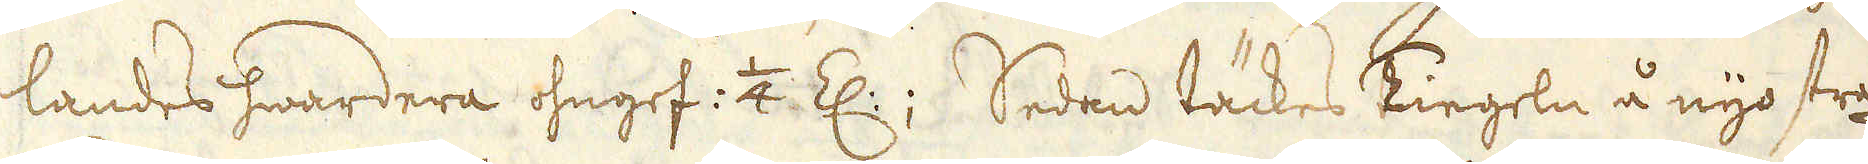landes hwardera ohngef : 1/4 Z: Sedan täckes Tiegeln å nyo strax
